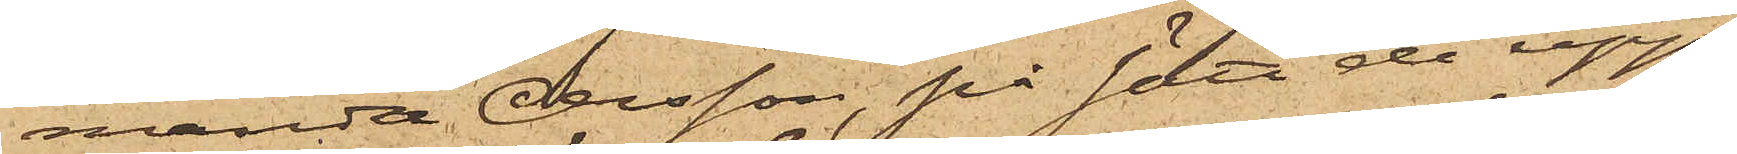manda Olsson på sätt de upp¬
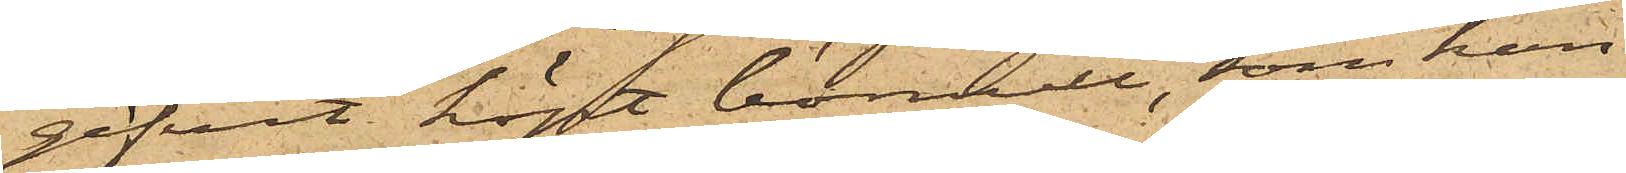gifvit köpt bomull, som hon
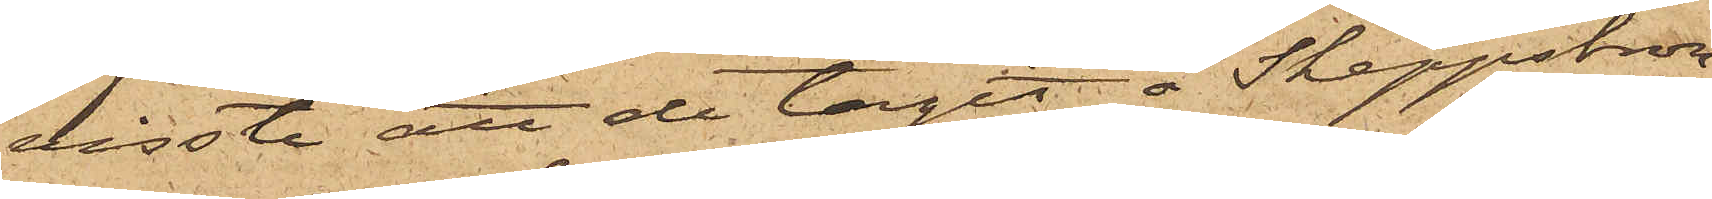visste att de tagit å Skeppsbron,
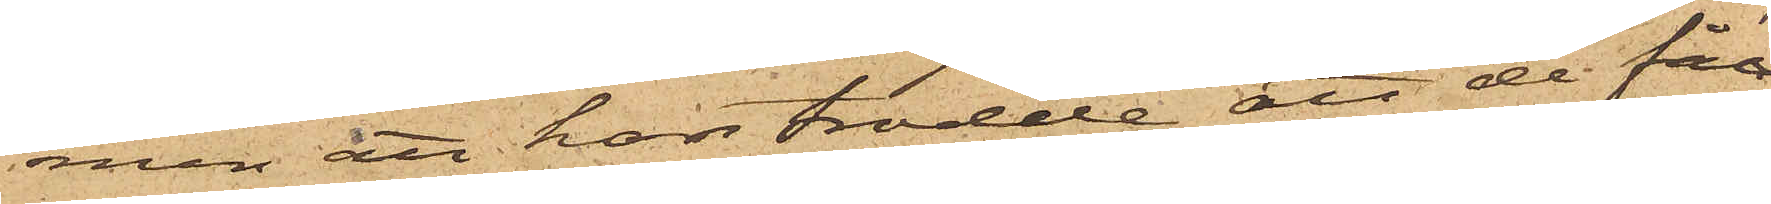men att hon trodde att de fått
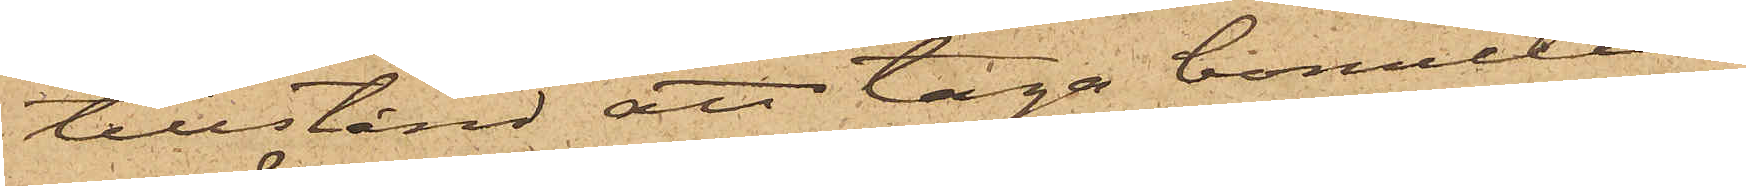tillstånd att taga bomullen
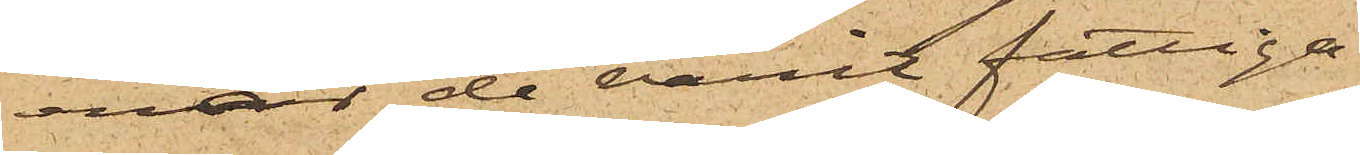enär de varit fattiga.
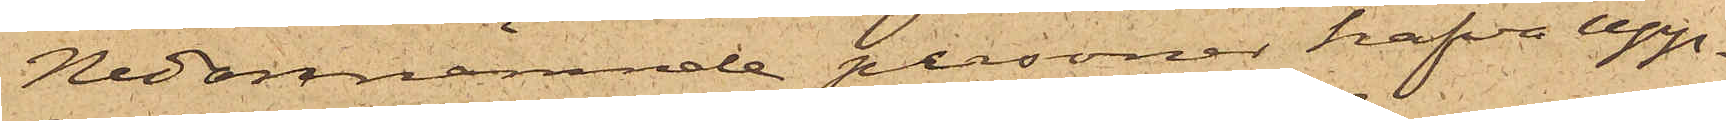Nedannämnde personer hafva upp¬
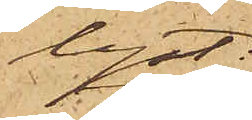lyst:
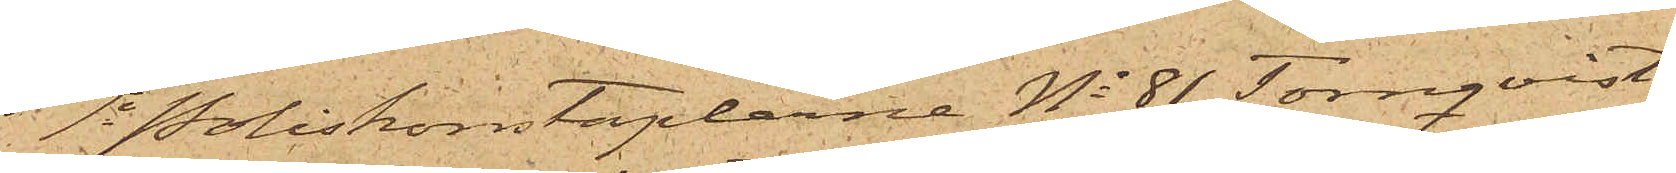1o Poliskonstaplarne No 81 Törnqvist
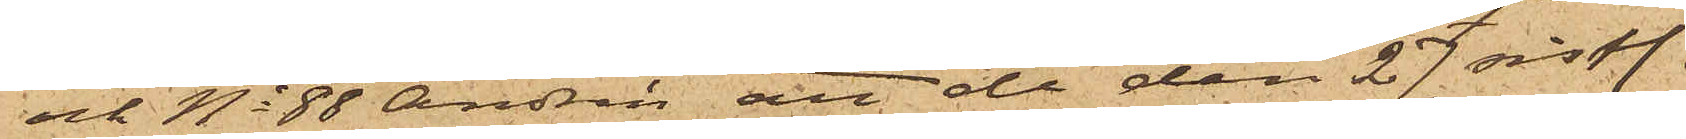och No 88 Andrén att de den 27 sistl.
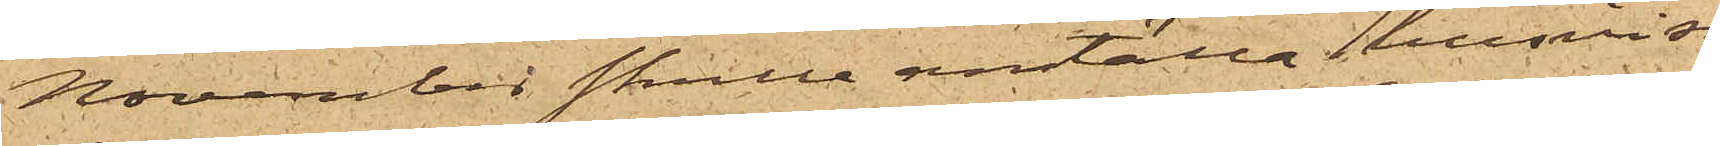November skulle anställa i husvisi¬
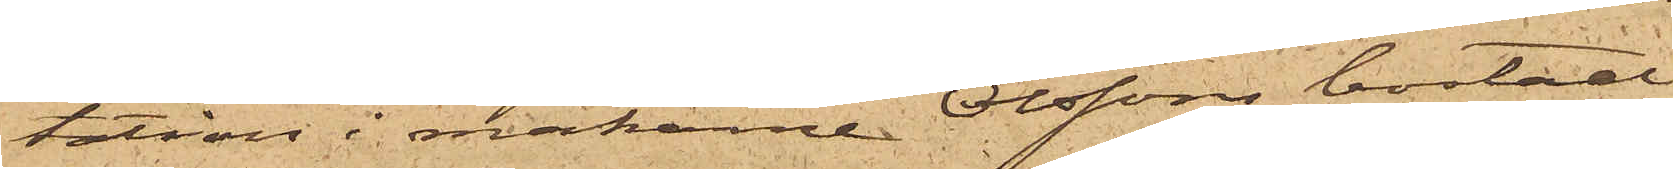tation i makarne Olssons bostad
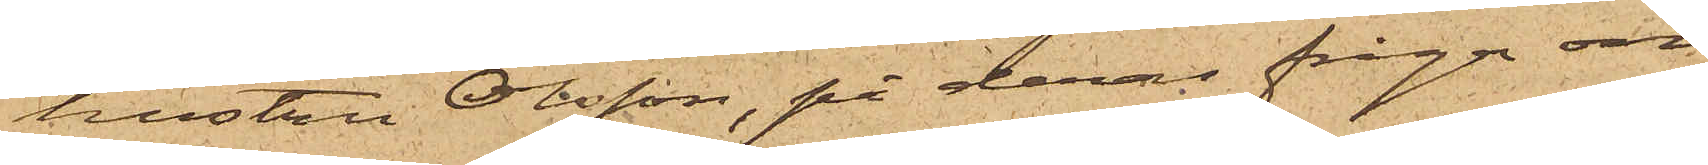hustru Olsson, på deras fråga om
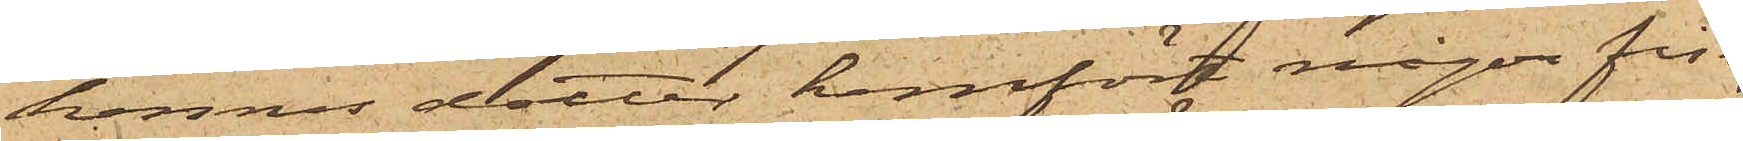hennes dotter hemfört någon fisk,
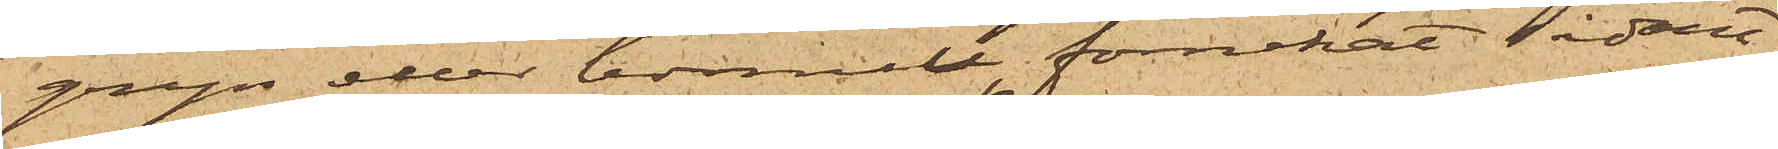gryn eller bomull förnekat sådant;
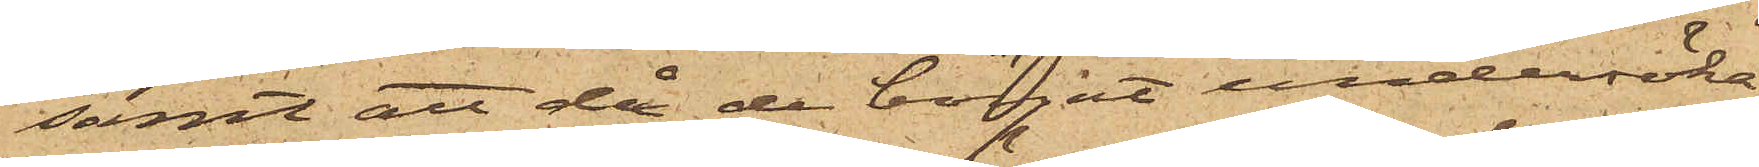samt att då de börjat undersöka
